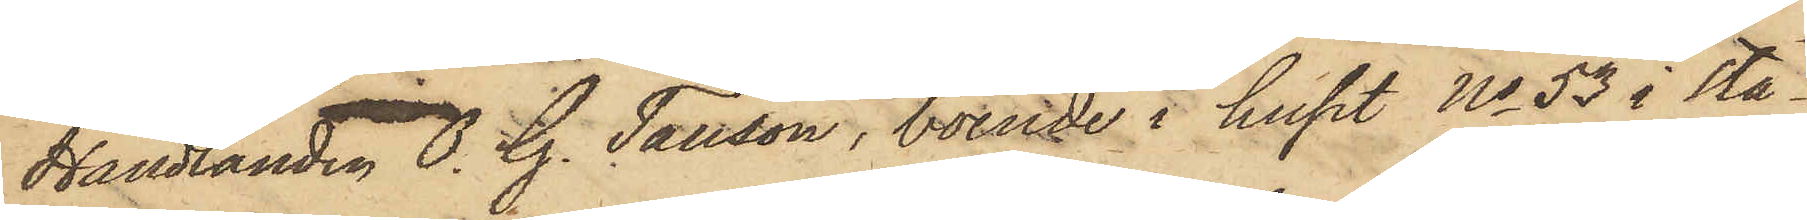Handlanden O. G. Tausson, boende i huset No 53 i sta¬
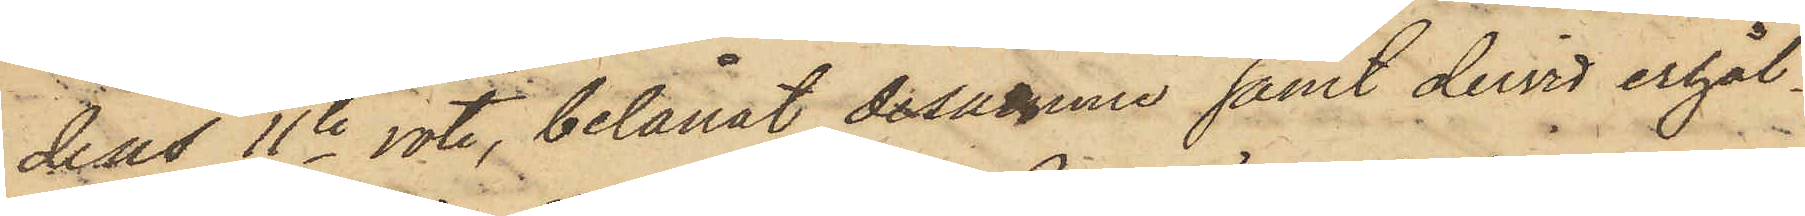dens 11te rote, belånat desamme samt dervid erhål¬
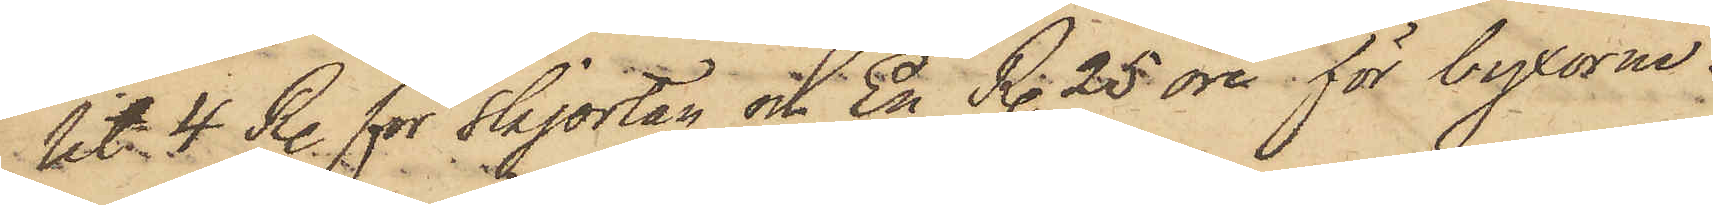lit 4 R. för skjortan och En R. 25 öre för byxorna.
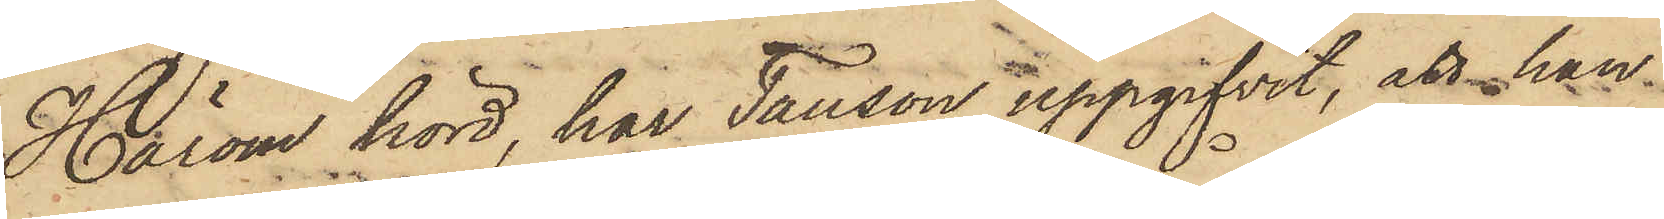Härom hörd, har Tausson uppgifvit, att han
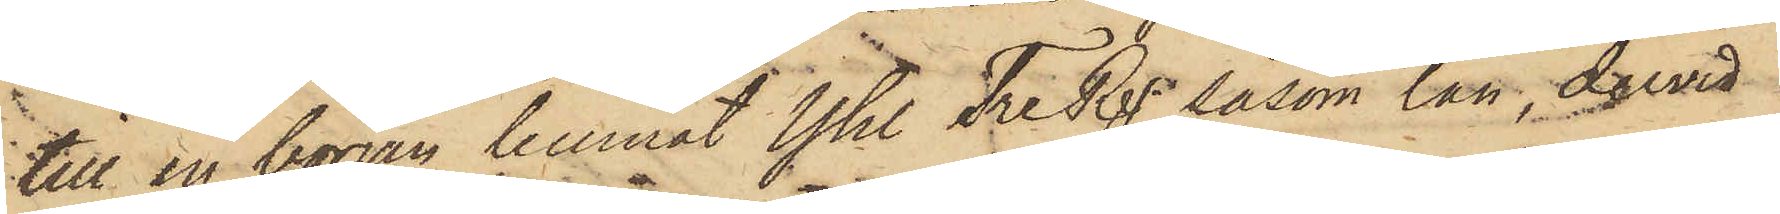till en början lemnat Yhl Tre Rgr såsom lån, dervid
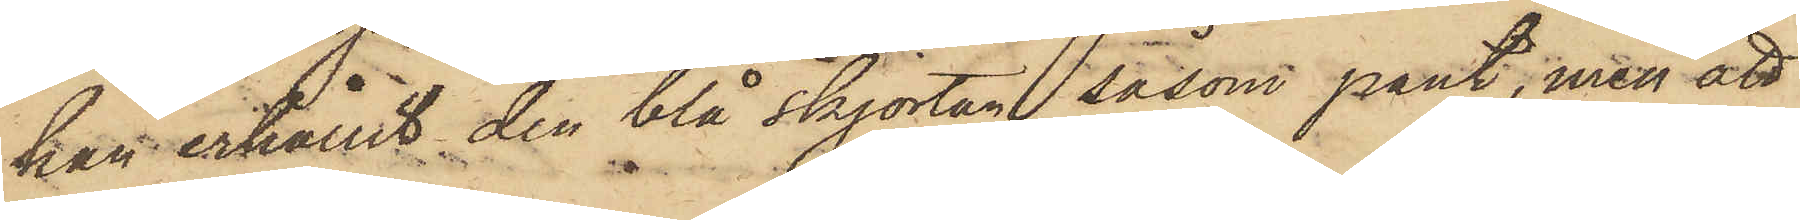han erhållit den blå skjortan såsom pant, men att
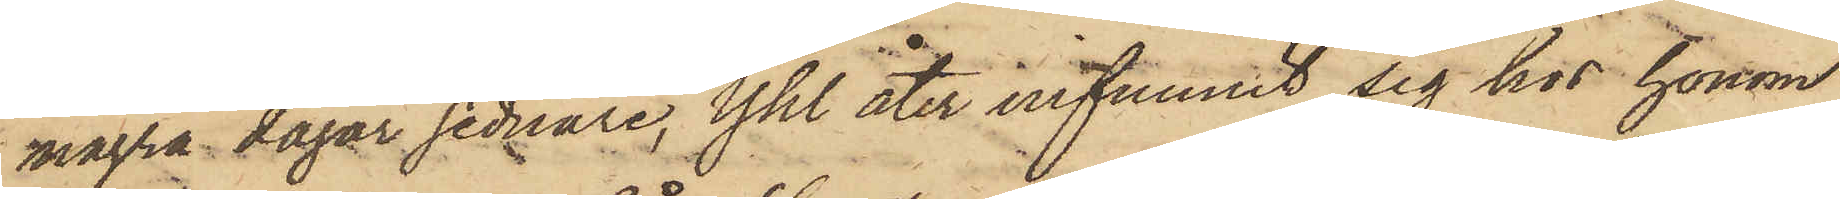några dagar sednare, Yhl åter infunnit sig hos honom
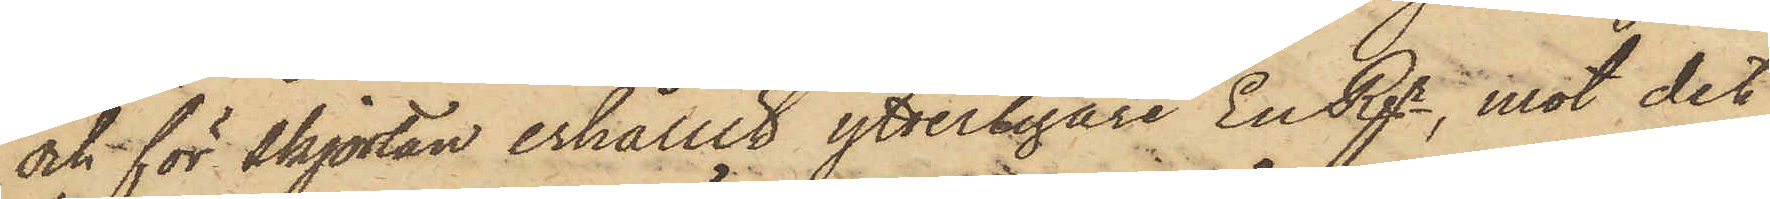och för skjortan erhållit ytterligare En Rgr, mot det
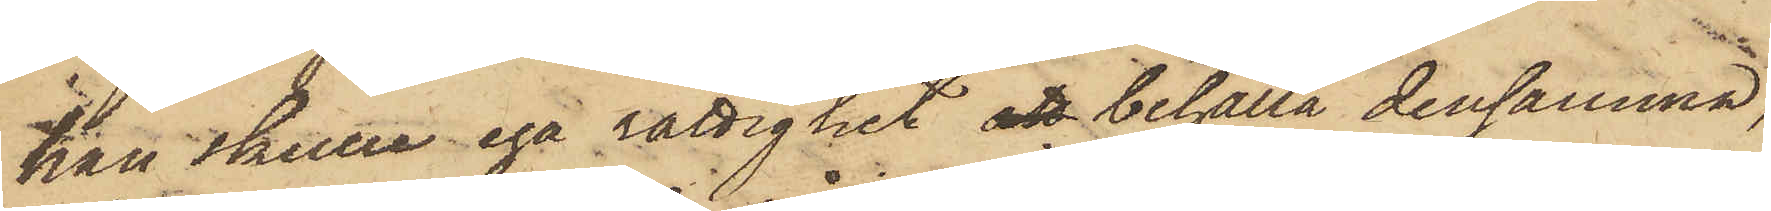han skulle ega rättighet att behålla densamma,
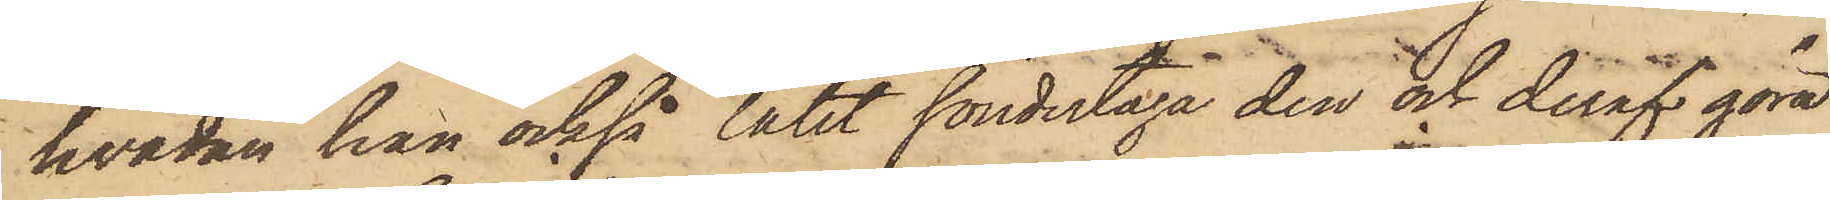hvadan han också låtit söndertaga den och deraf göra
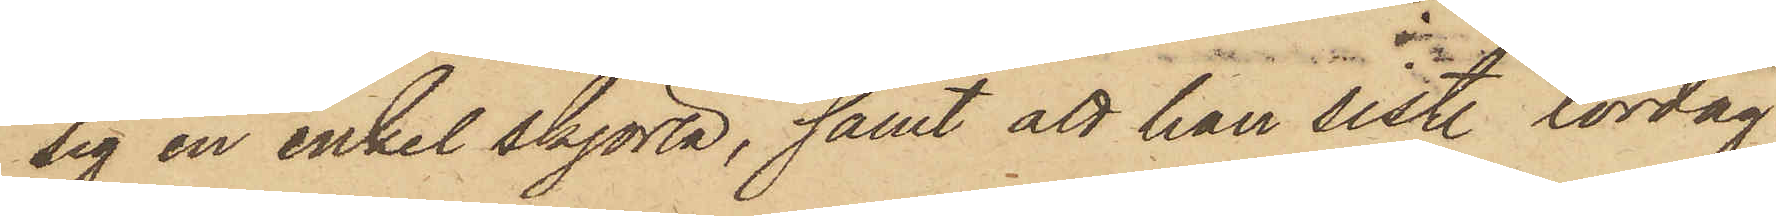sig en enkel skjorta, samt att han sistl. lördag
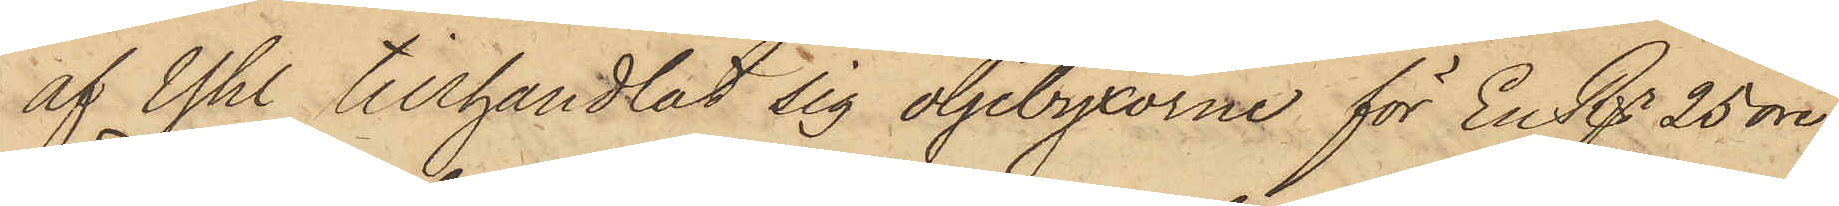af Yhl tillhandlat sig oljebyxorna för En Rgr 25 öre,
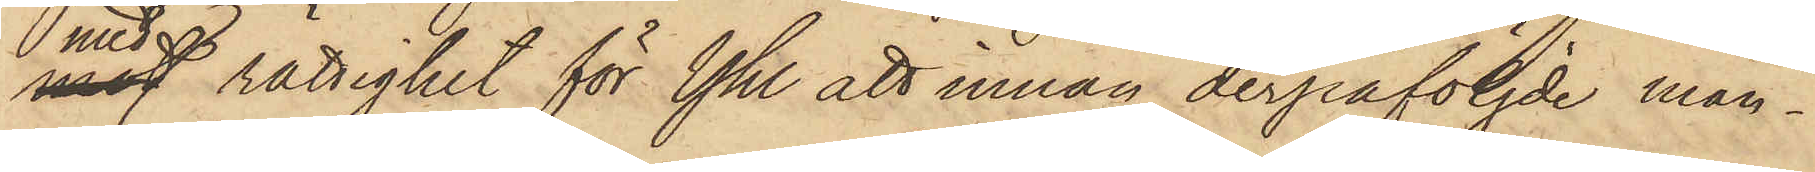med rättighet för Yhl att innan derpåföljde mån¬
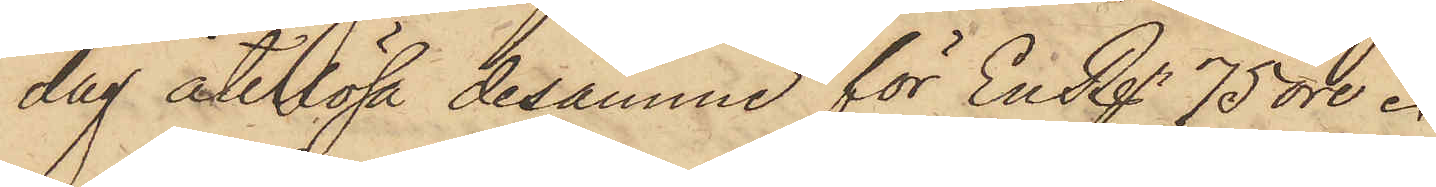dag återlösa desamma för En Rgr. 75 öre.
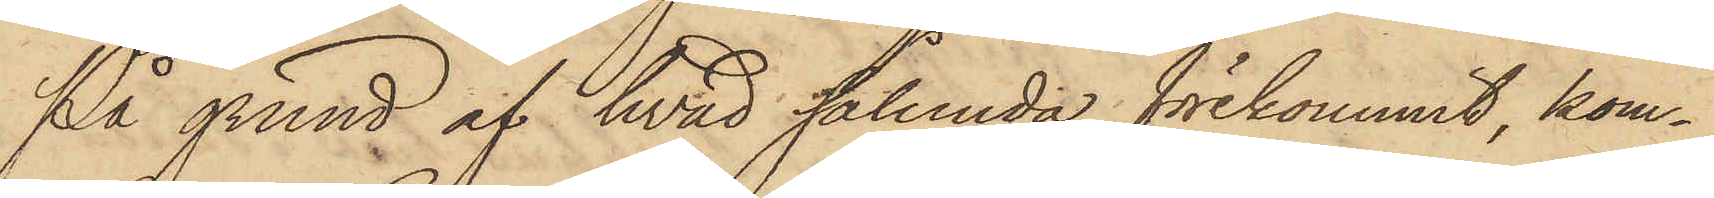På grund af hvad sålunda förekommit, kom¬
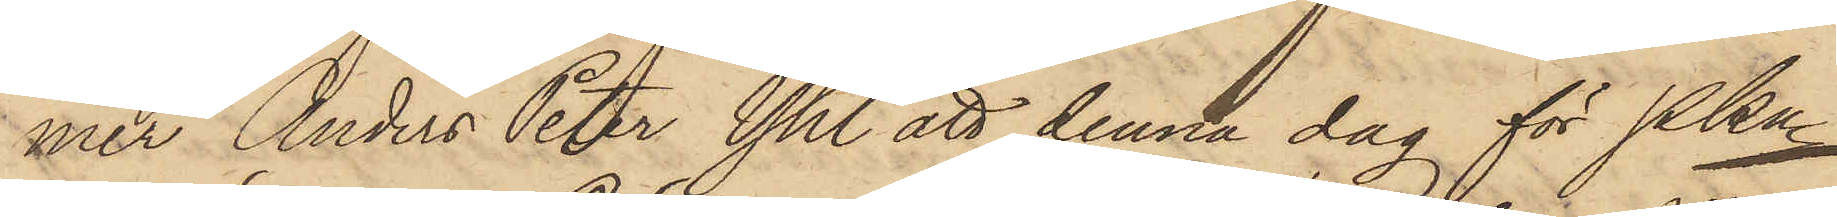mer Anders Peter Yhl att denna dag för Pkn
